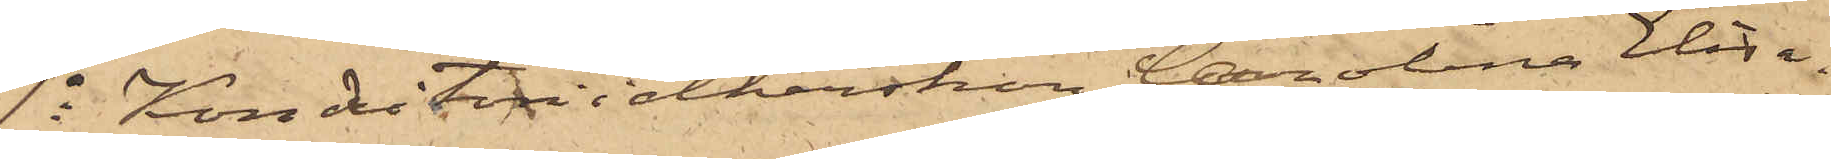9o Konditoriidkerskan Carolina Elisa¬
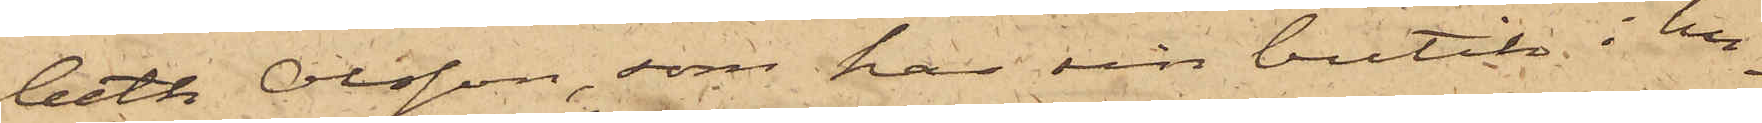beth Olsson, som har sin butik i hu¬
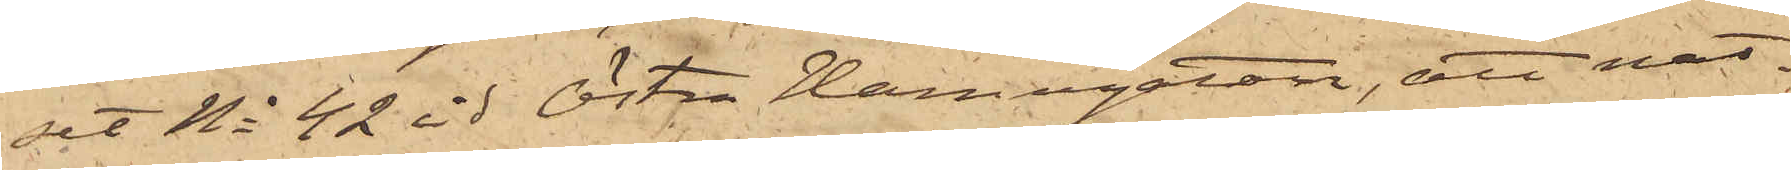set No 42 vid Östra Hamngatan, att nat¬
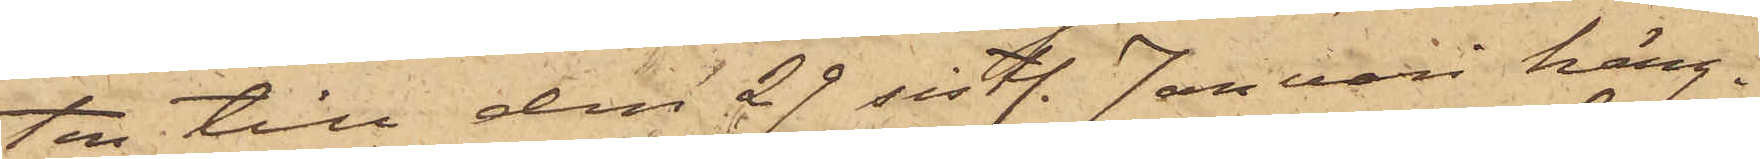ten till den 29 sistl. Januari häng¬
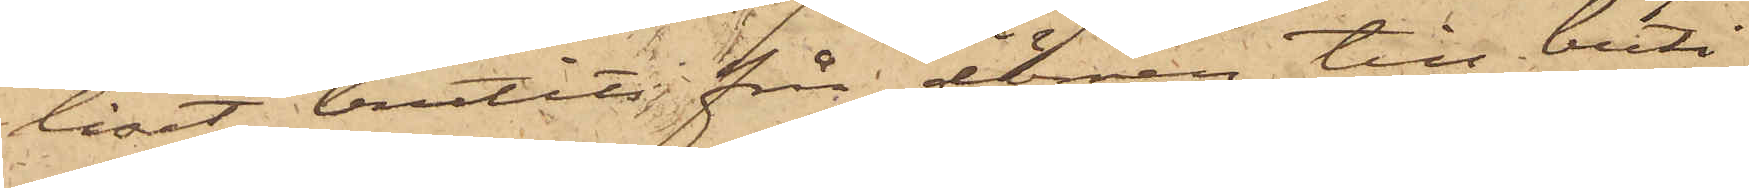låset brutits från dörren till buti¬
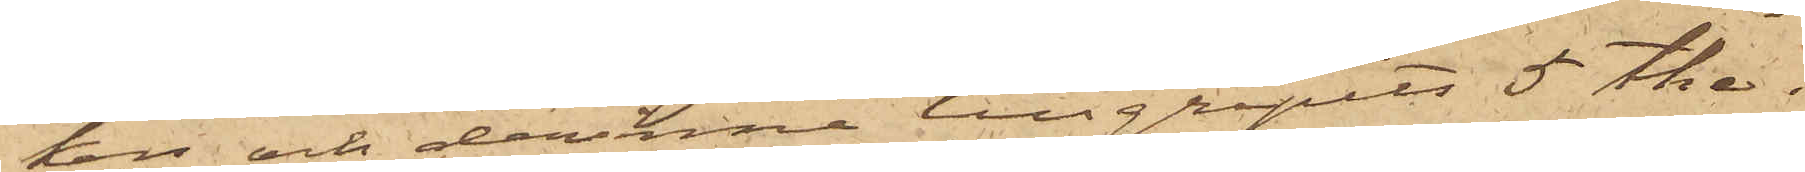ken och derinne tillgripits 5 the¬
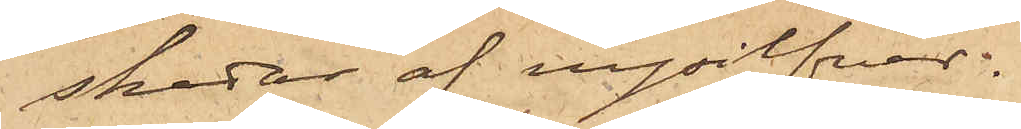skedar af nysilfver.
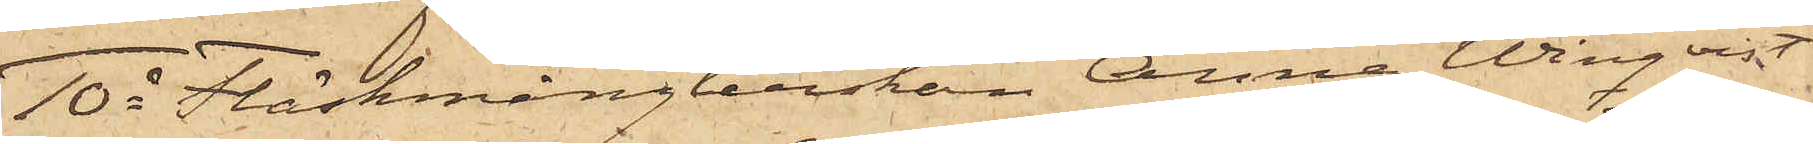10o Fläskmånglerskan Anna Winqvist,
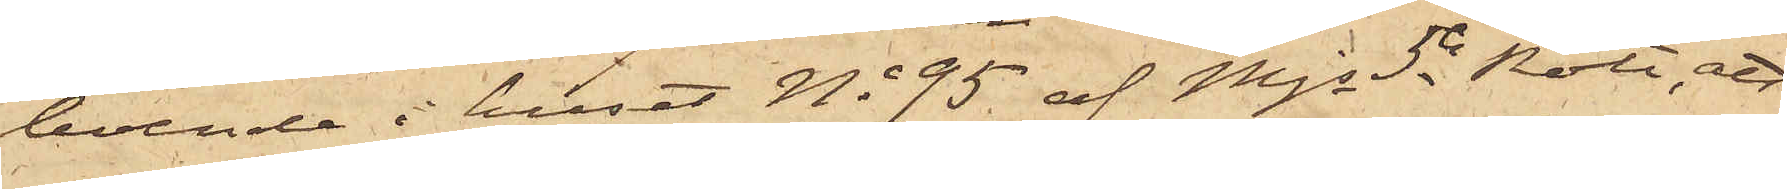boende i huset No 95 af Mjs 5te Rote, att
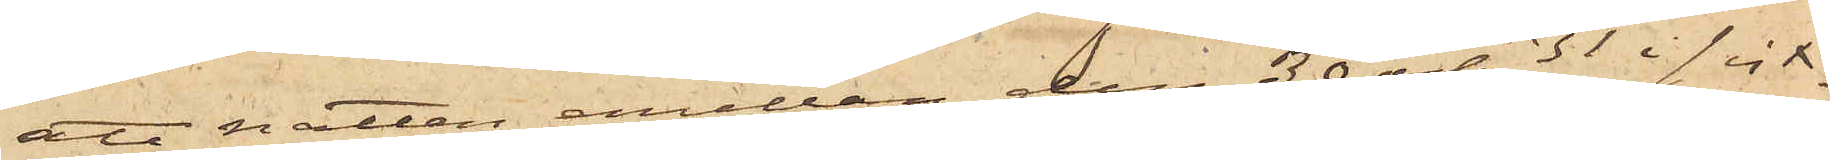att natten emellan den 30 och 31 i sist¬
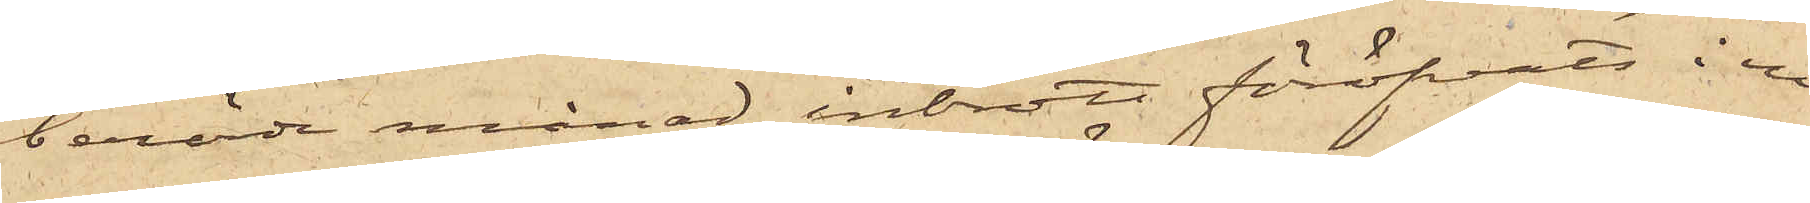berörde månad inbrott föröfvats i en
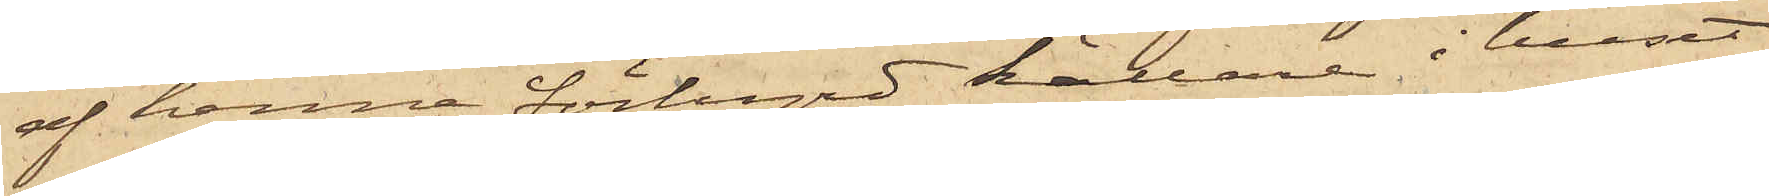af henne förhyrd källare i huset
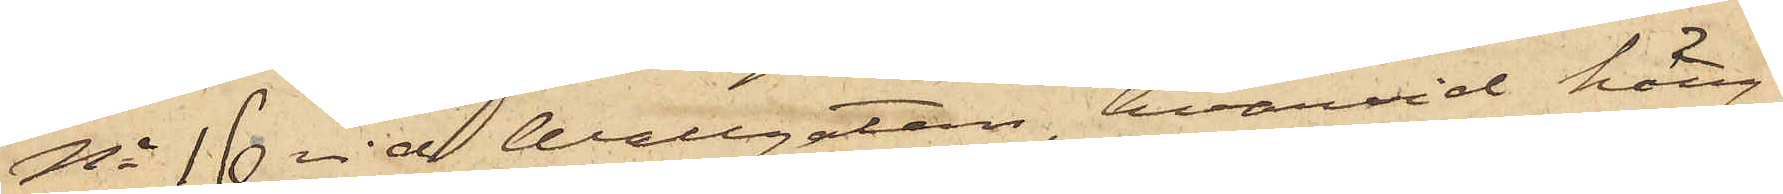No 16 vid Wallgatan, hvarvid häng¬
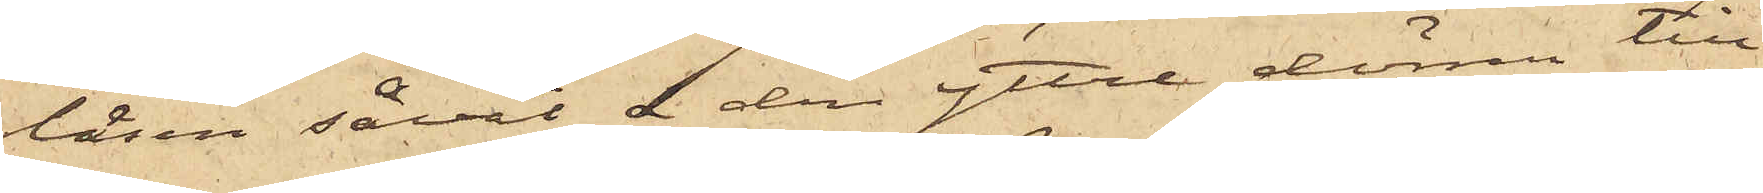låsen såväl i den yttre dörren till
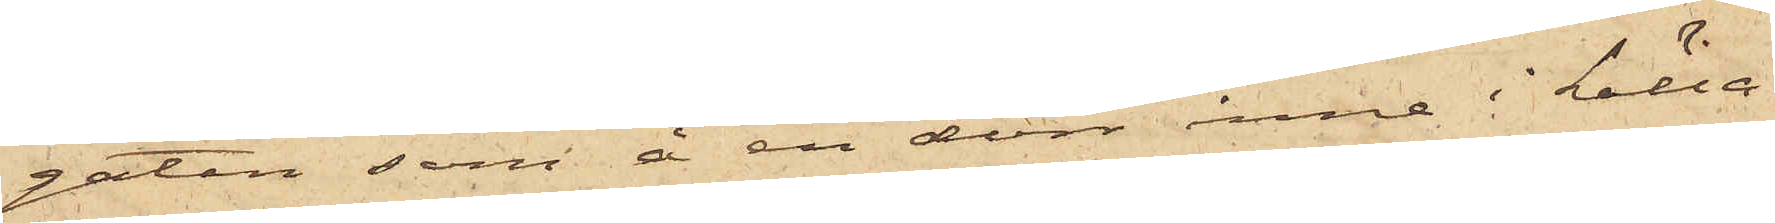gatan som å en dörr inne i källa¬
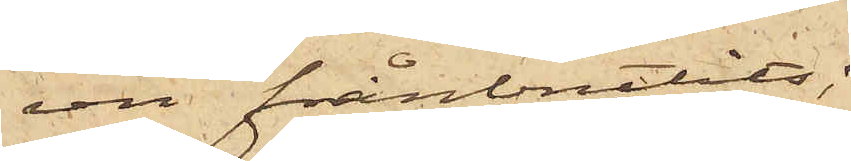ren frånbrutits;
